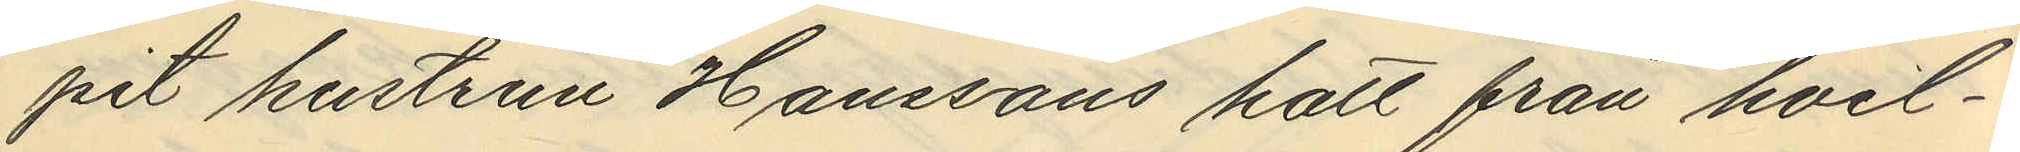pit hustrun Hanssons hatt från hvil¬
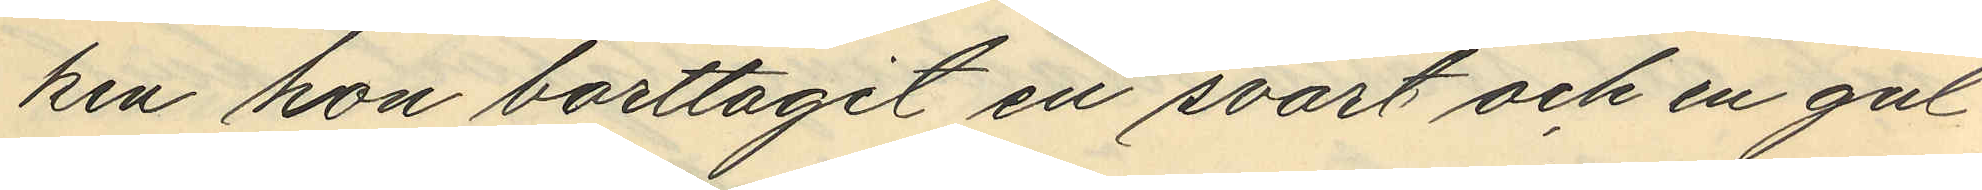ken hon borttagit en svart och en gul
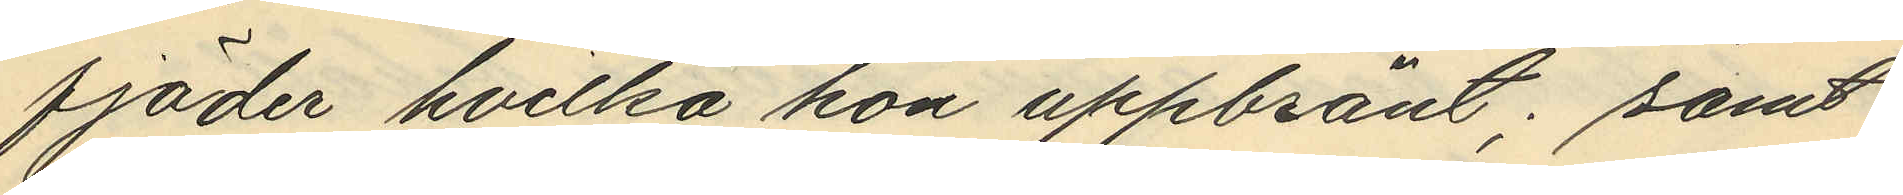fjäder hvilka hon uppbränt; samt
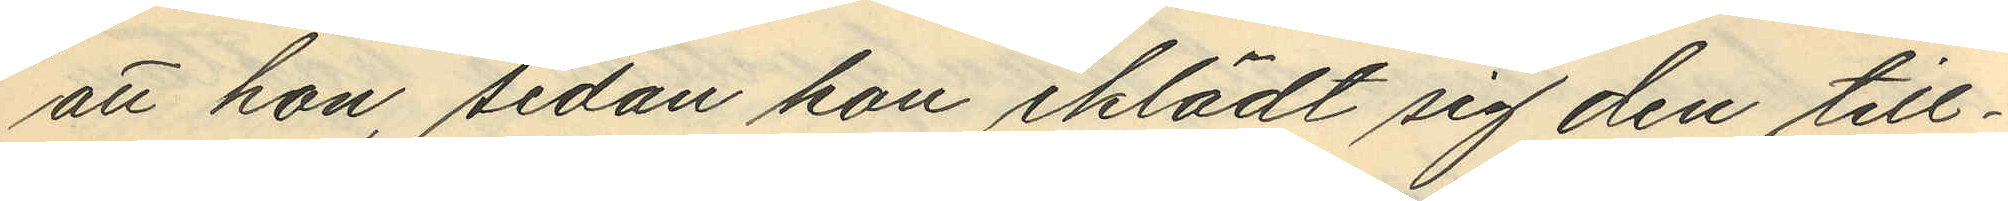att hon, sedan hon iklädt sig den till¬
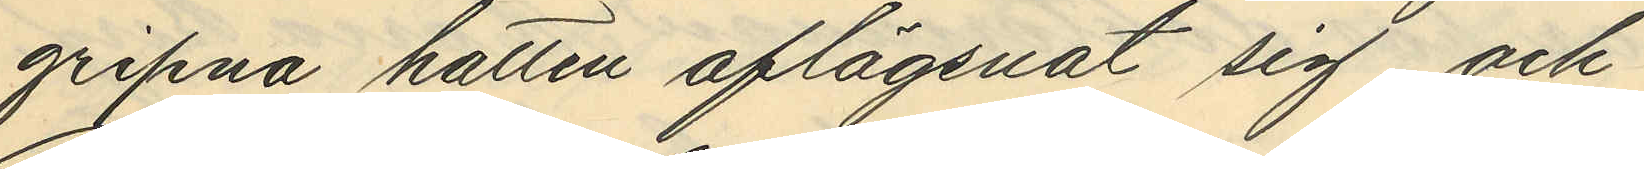gripna hatten aflägsnat sig och
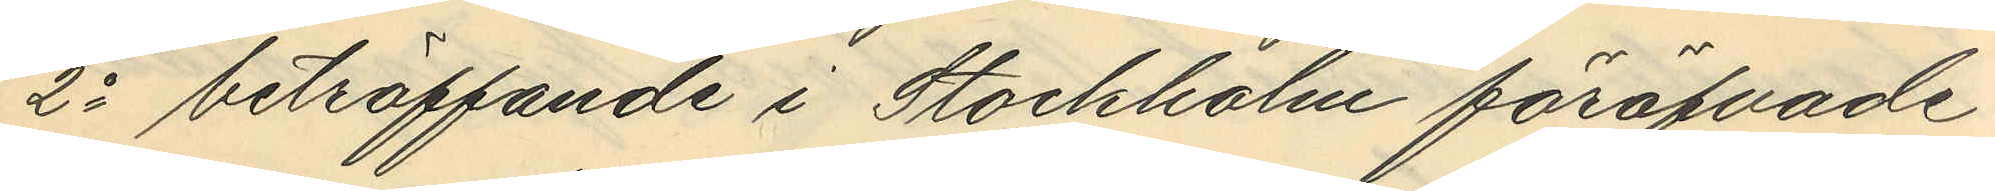2o beträffande i Stockholm föröfvade
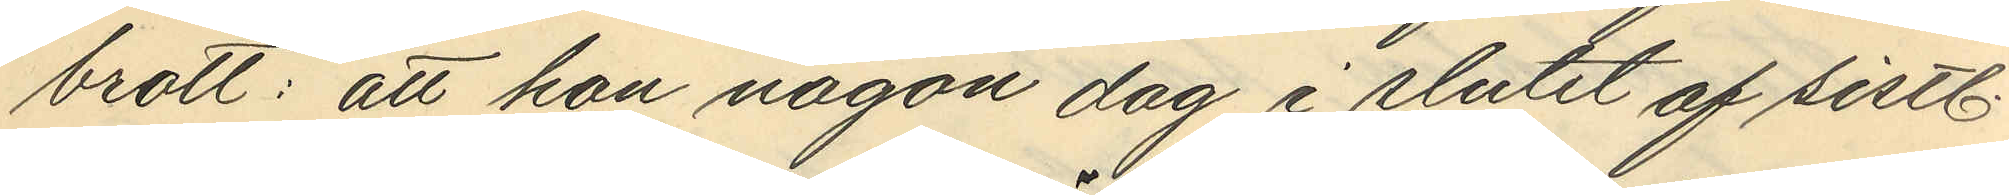brott: att hon någon dag i slutet af sistl.
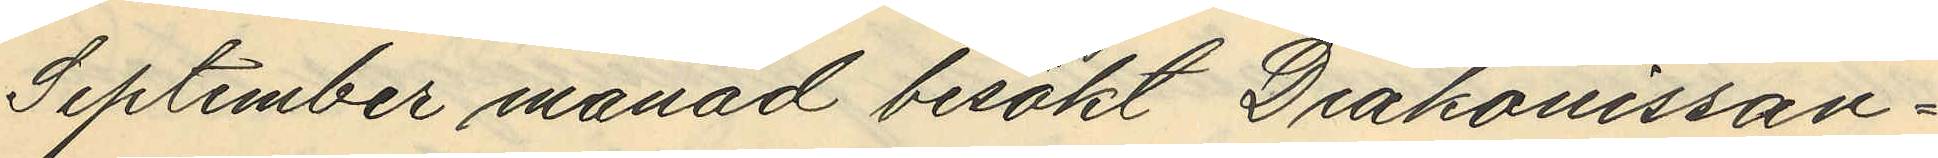September månad besökt Diakonissan¬
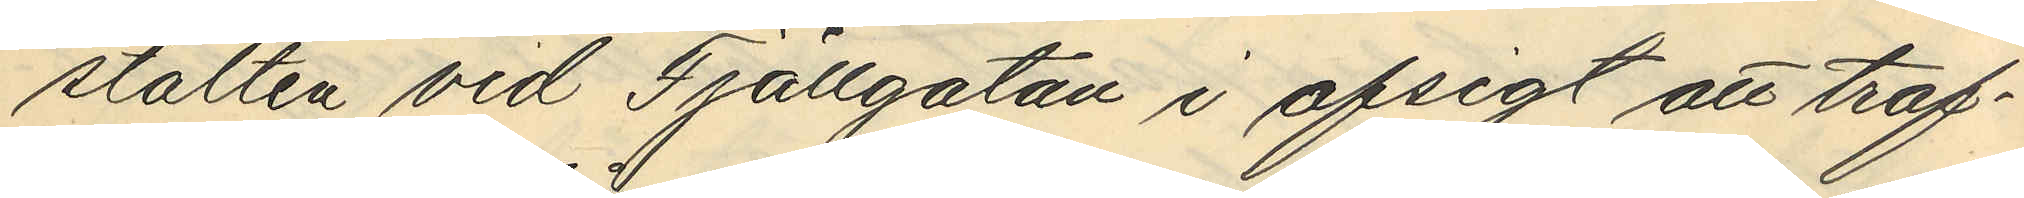stalten vid Fjällgatan i afsigt att träf¬
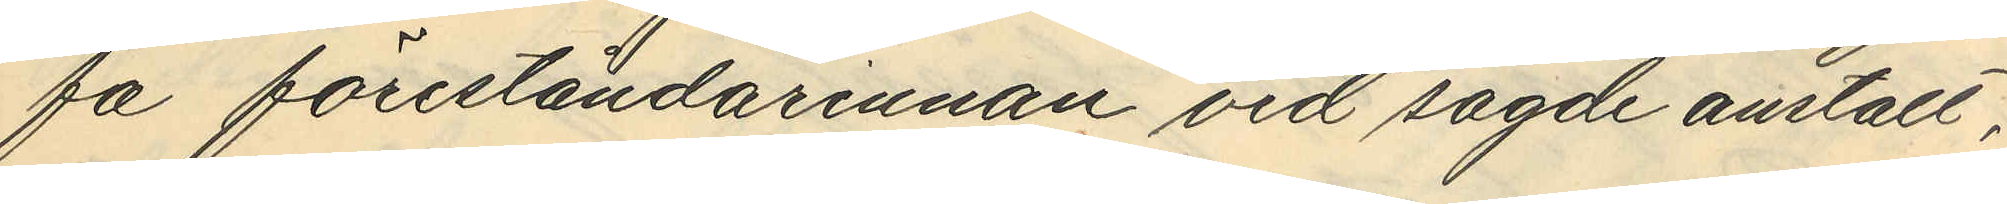få föreståndarinnan vid sagde anstalt,
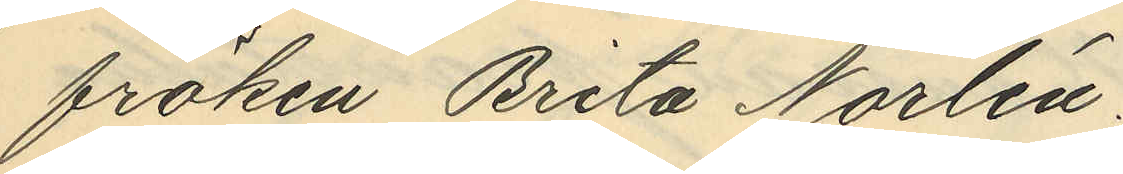fröken Brita Norlén.
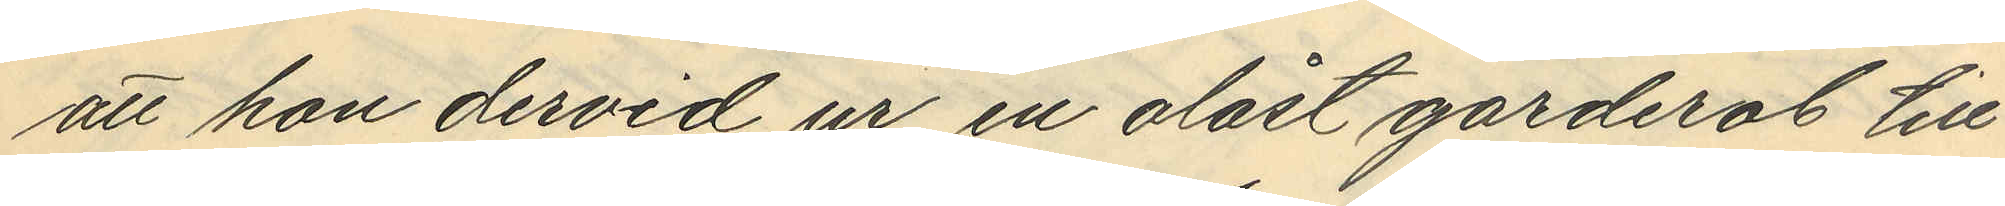att hon dervid ur en olåst garderob till
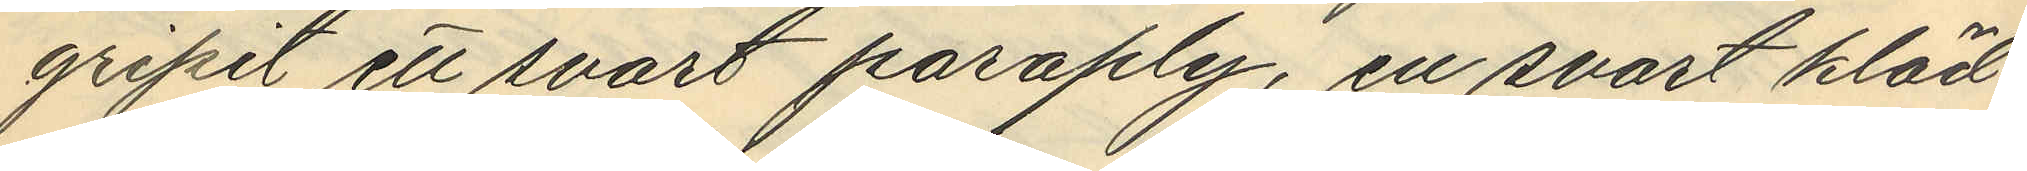gripit ett svart paraply, en svart kläd¬
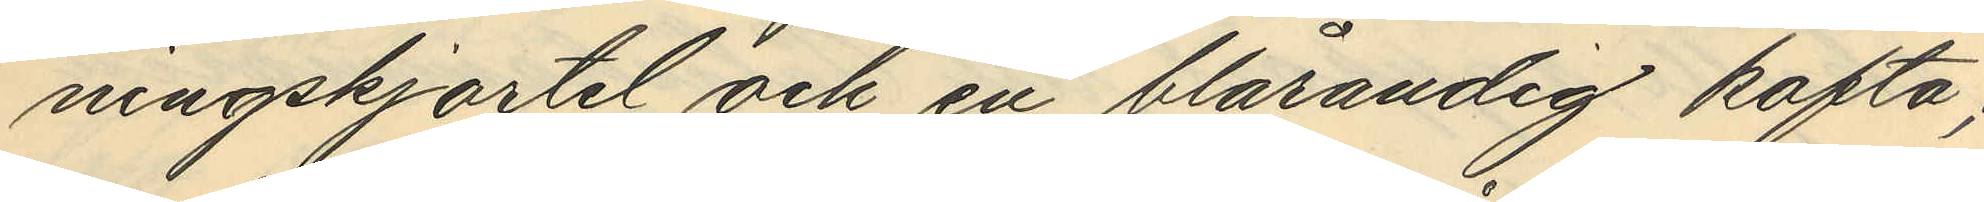ningskjortel och en blårandig kofta;
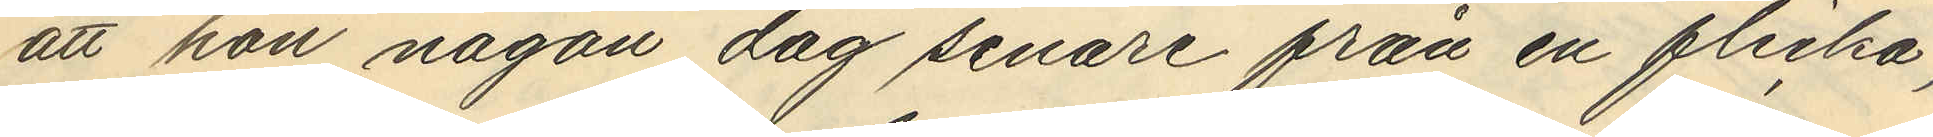att hon någon dag senare från en flicka,
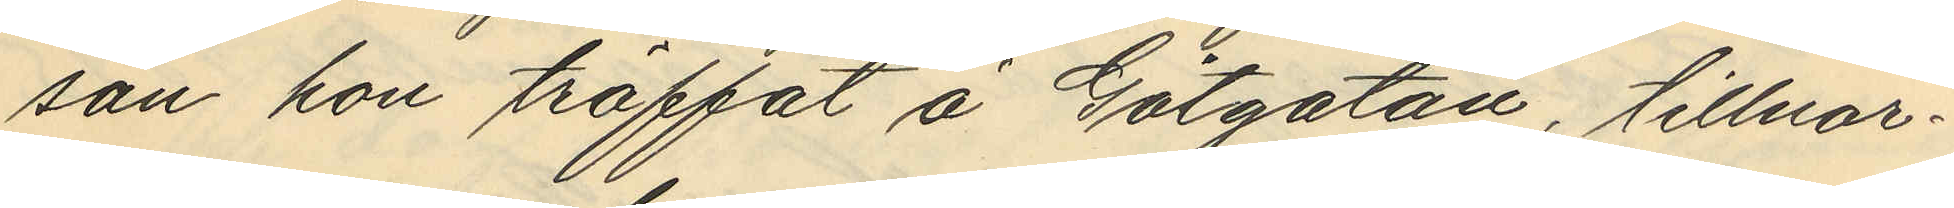son hon träffat å Götgatan, tillnar¬
